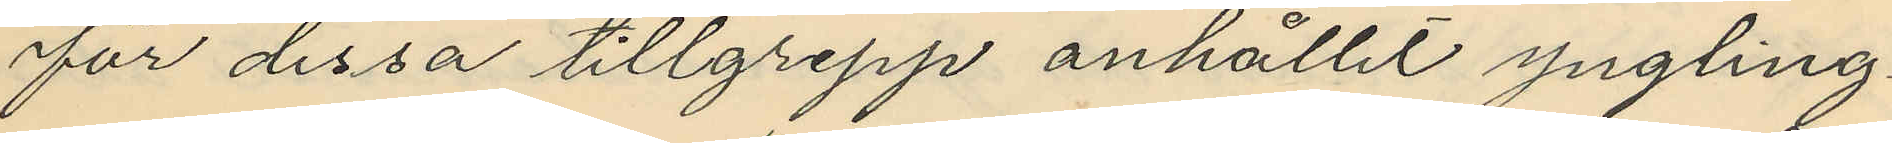för dessa tillgrepp anhållit yngling¬
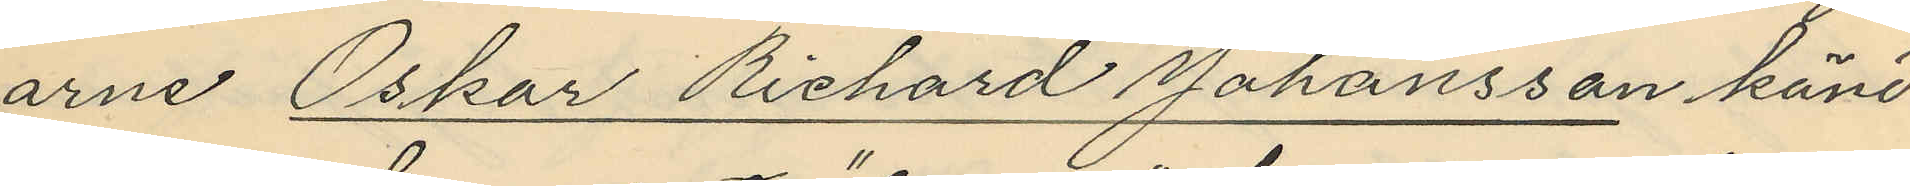arne Oskar Richard Johansson känd
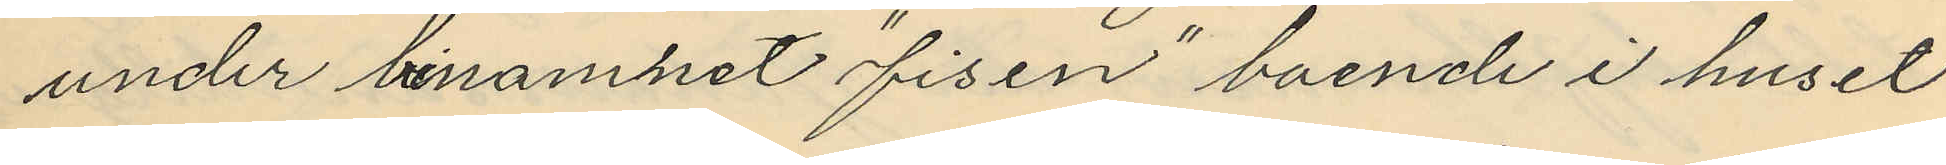under binamhet "fisen" boende i huset
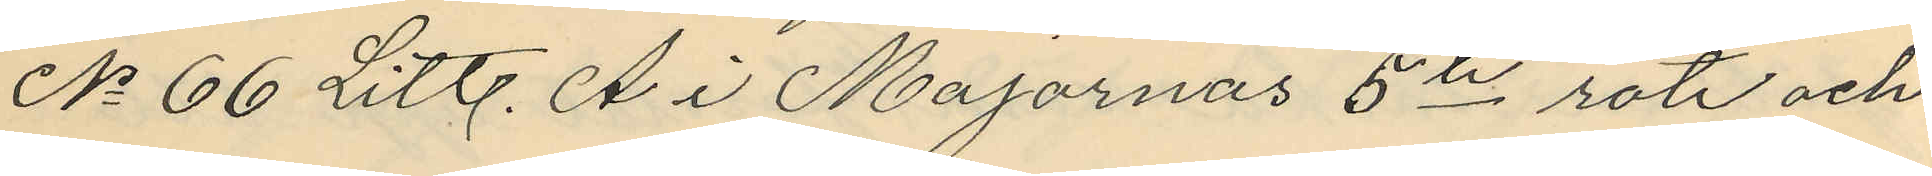No 66 Litt. A i Majornas 5te rote och
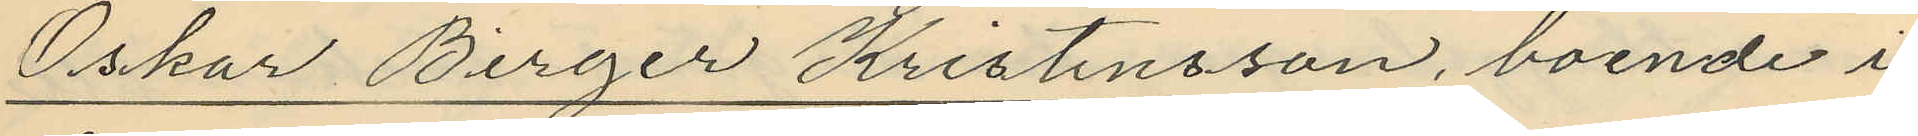Oskar Birger Kristensson, boende i
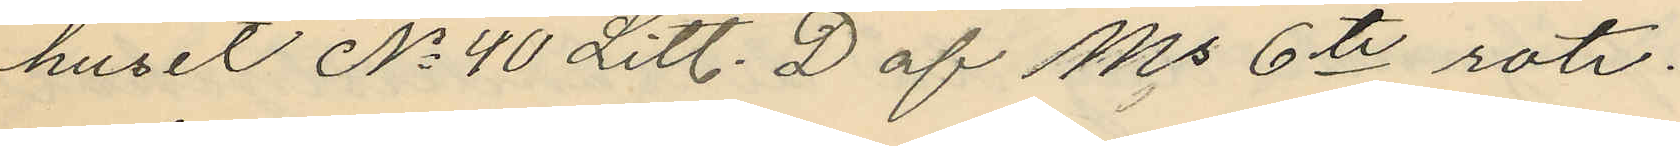huset No 40 Litt. D af Ms 6te rote.
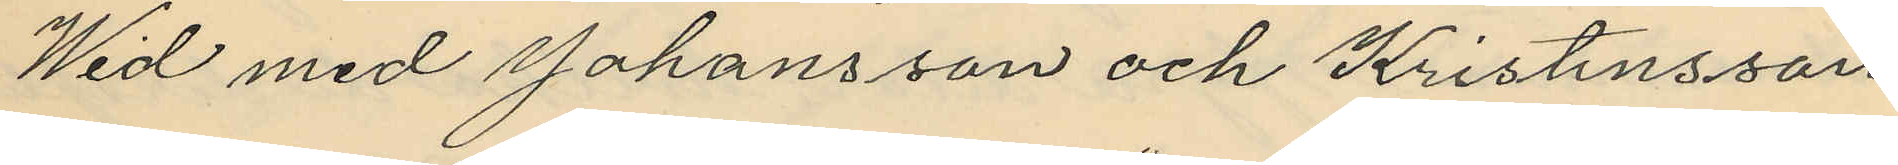Wid med Johansson och Kristensson
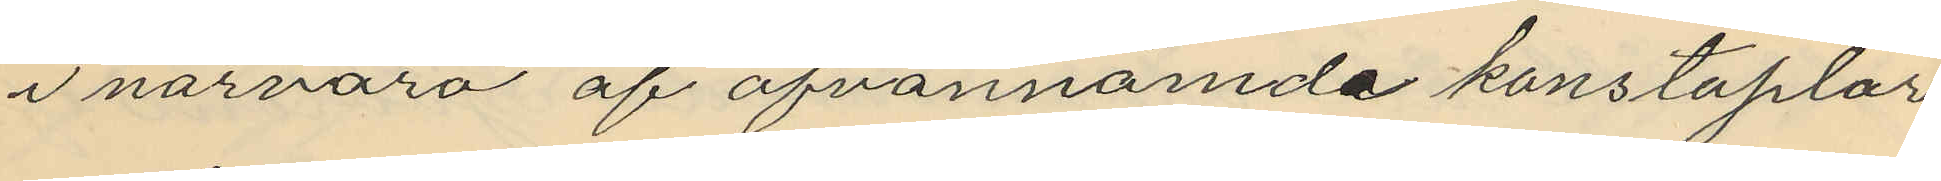i närvaro af ofvannämde konstaplar
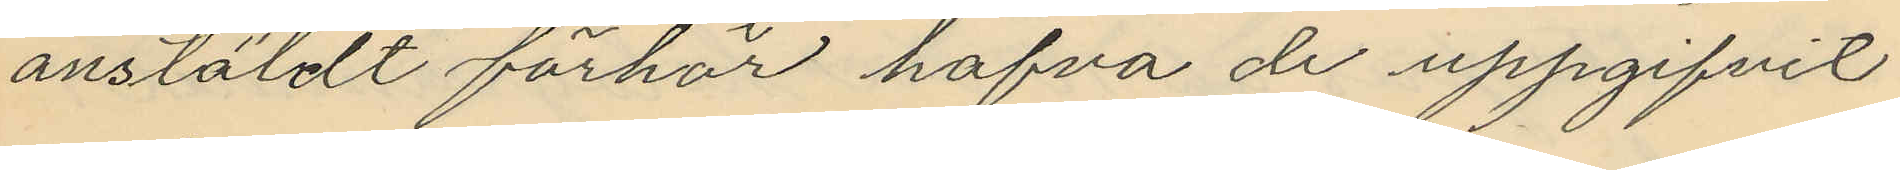anstäldt förhör hafva de uppgifvit
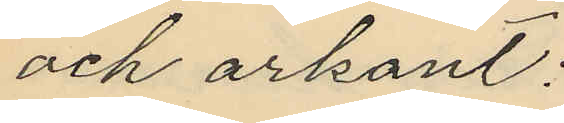och erkant;
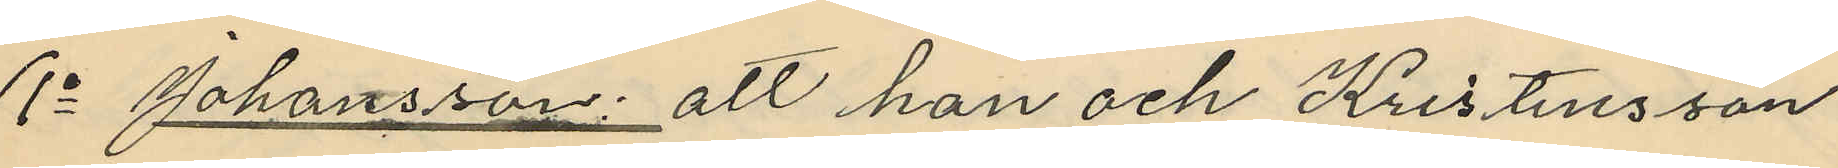1o Johansson: att han och Kristensson
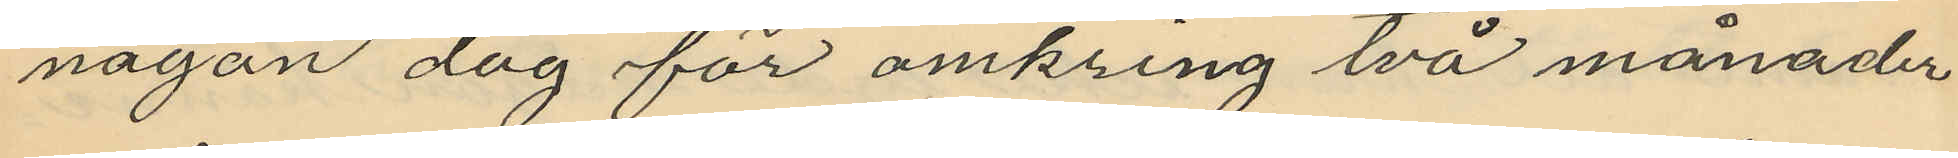någon dag för omkring två månader
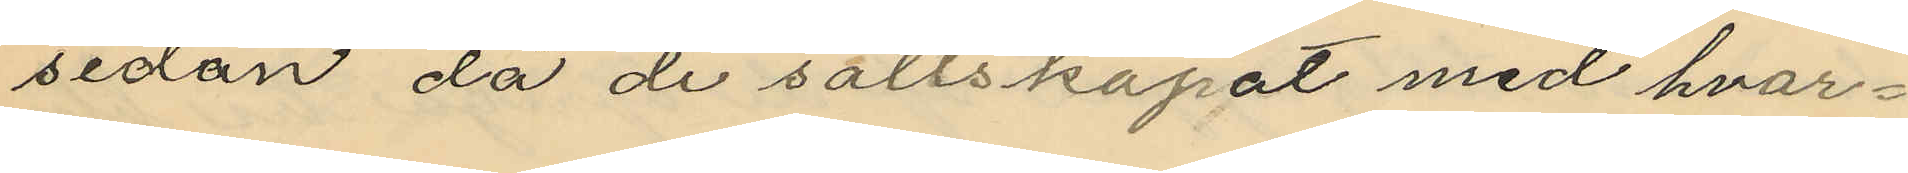sedan då de sällskapat med hvar¬
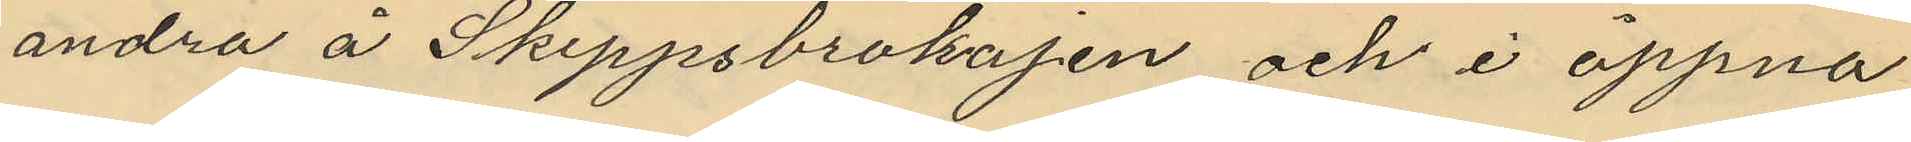andra å Skeppsbrokajen och i öppna
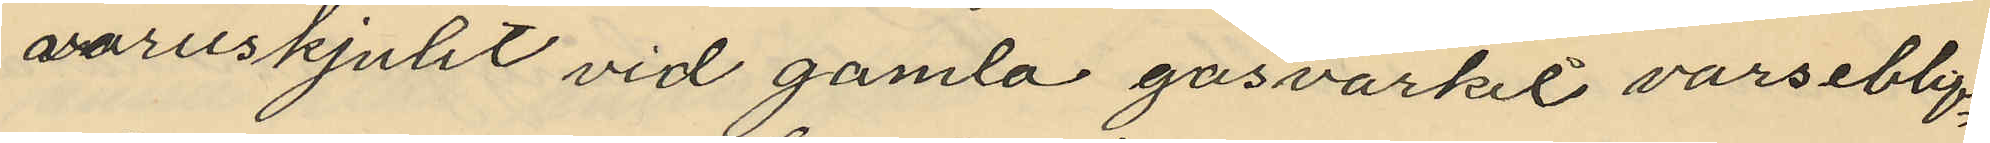varuskjulet vid gamla gasvarket varseblif¬
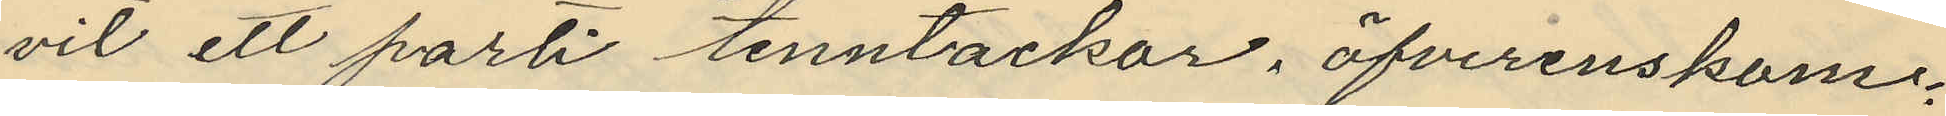vit ett parti tenntackor, öfverenskom¬
